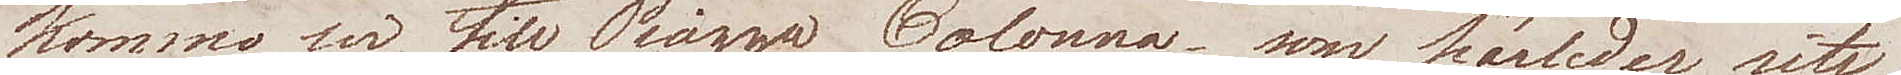komma wi till Piazza Colonna, som härleder sitt
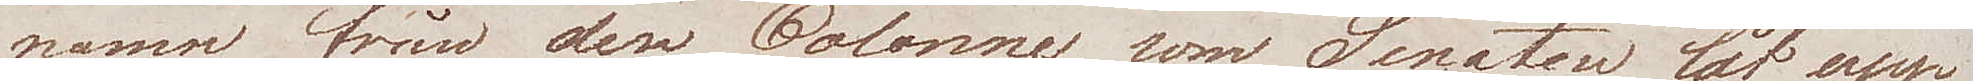namn från den Colonne som Senaten lät upp¬
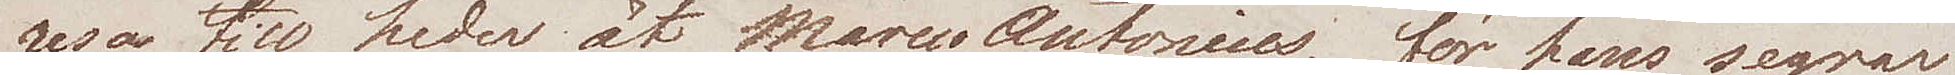resa till heder åt Marcus Antonius, för hans segrar
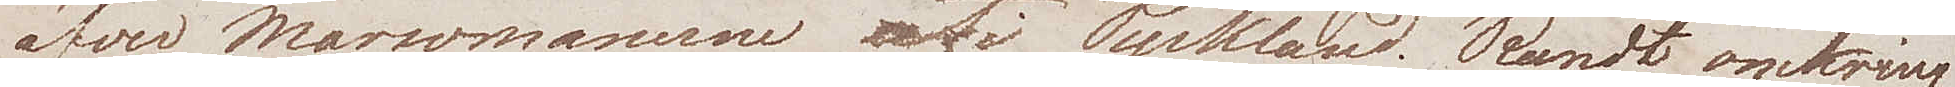öfver Marcomannerne uti Tyskland. Rundt omkring
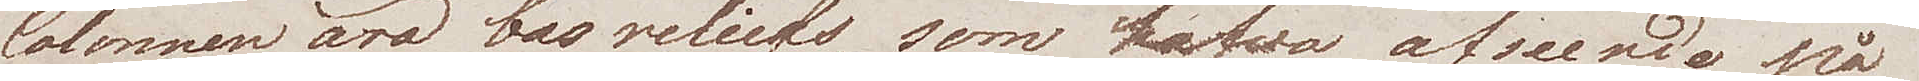Colonnen äro bas reliefs, som hafva afseende på
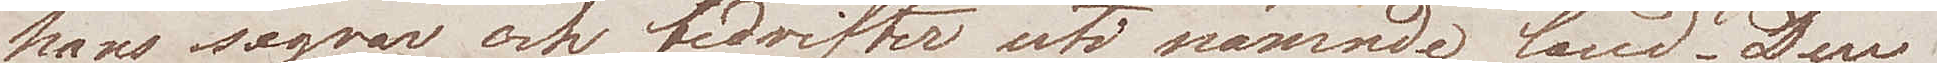hans segrar och bedrifter uti nämnde land, Den
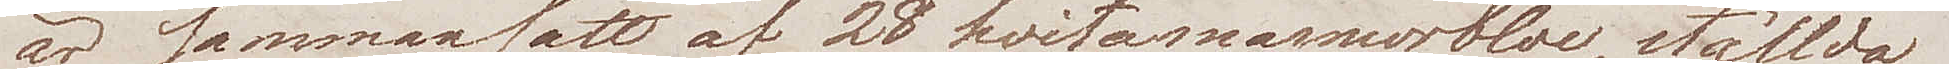är sammansatt af 28 hvita marmorbloc, ställda
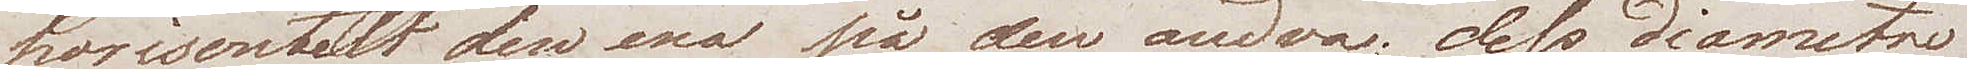horisontalt den ena på den andra; dess diametre
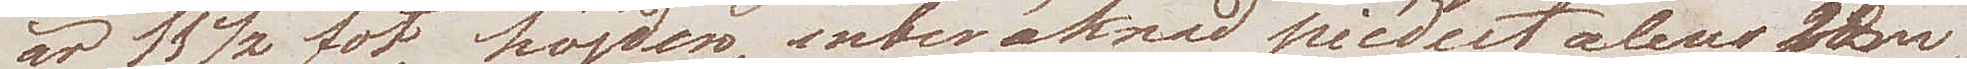är 11½ fot, höjden, inberäknad piedestalens som
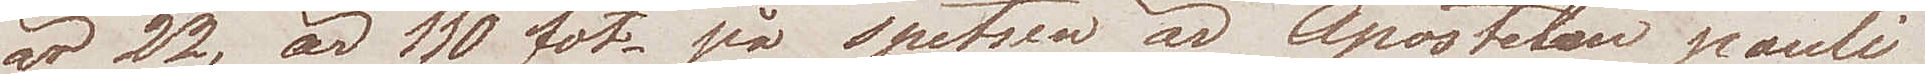är 22, är 110 fot - på spetsen är Apostelen pauli
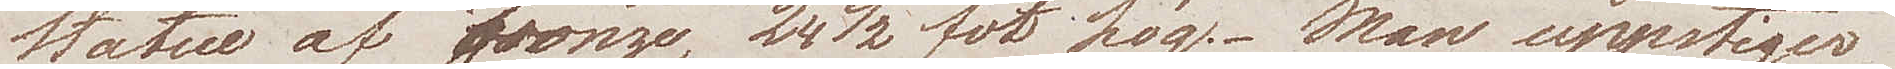statue af bronze, 24½ fot hög. Man uppstiger
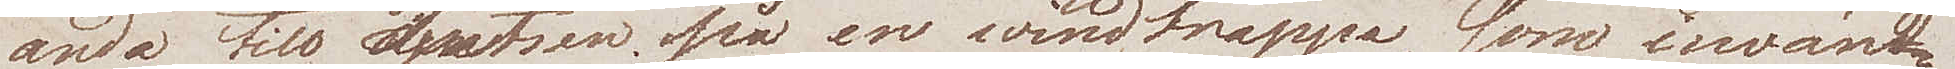ända till spetsen på en windtrappa, som invän¬
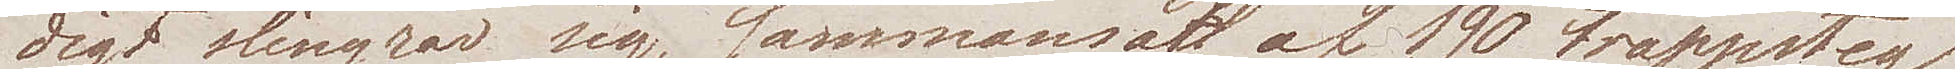digt slingrar sig, sammansatt af 190 trappsteg
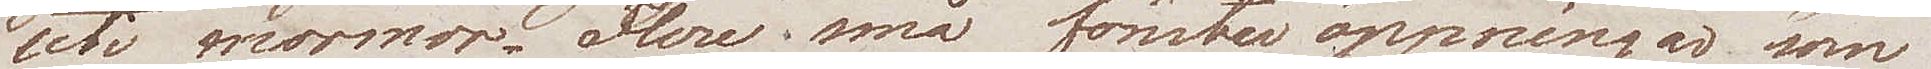uti marmor.  Flere små fönsteröppningar som
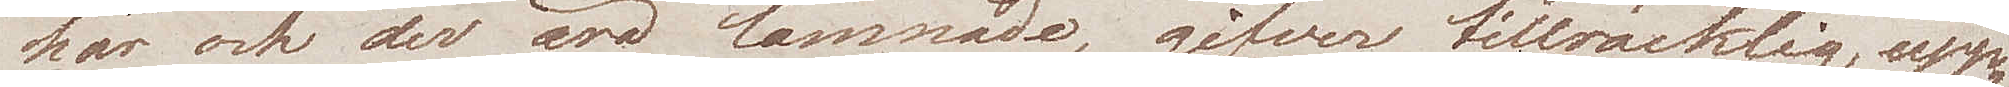här och der äro lämnade, gifver tillräcklig upp¬
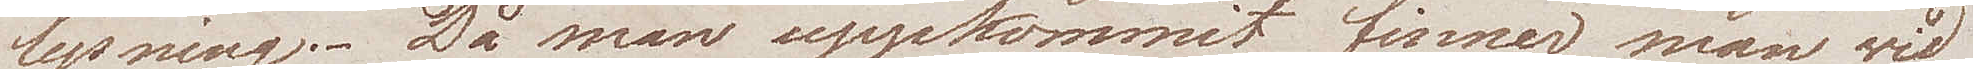lysning. Då man uppkommit, finner man wid
